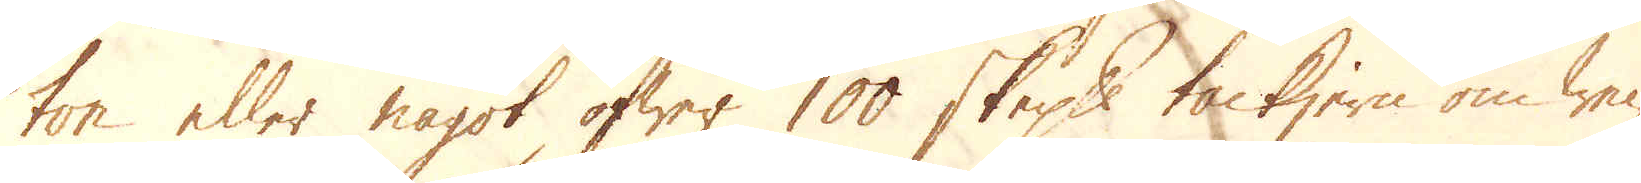ton tiller något öfwer 100 skeppund tackjern om wec-
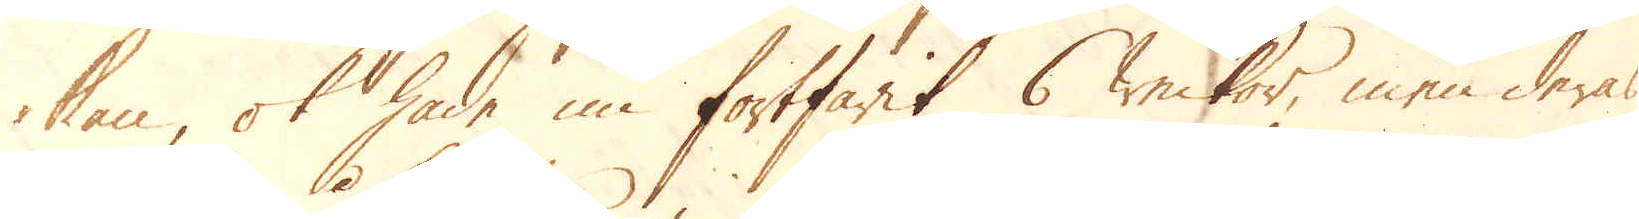kan, ok hade nu fortfarit 6 weckor, men deras
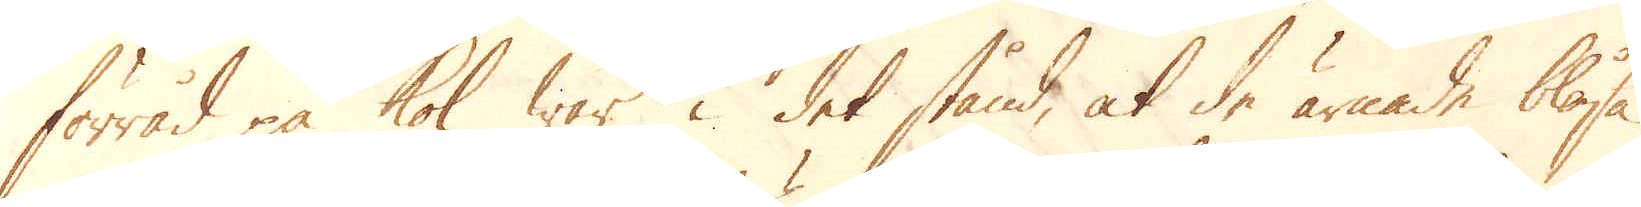förråd på kol war i det stånd, at de ärnade blåsa
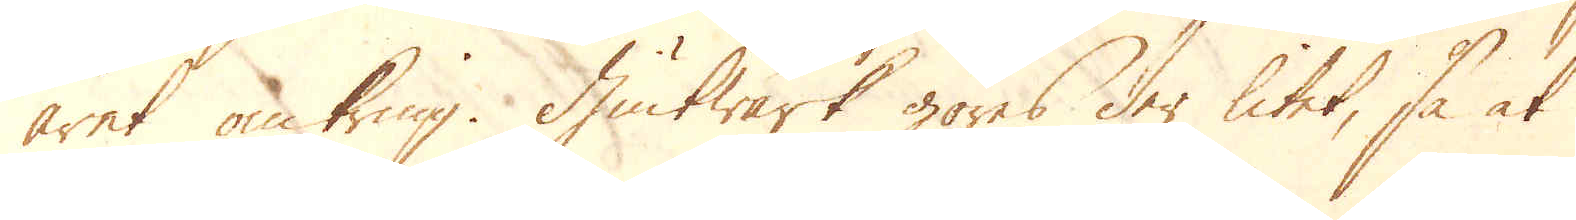året omkring. Giutwärk göres der litet, så at
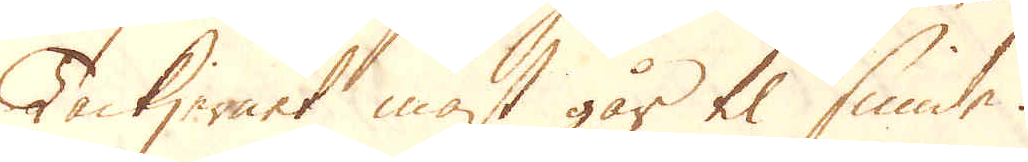Tackjernet mäst går til smide.
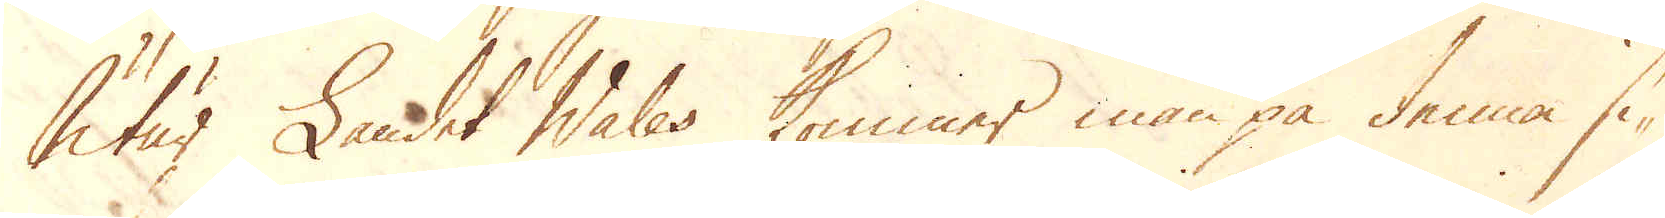Utur Landet Wales kommer man på denna si-
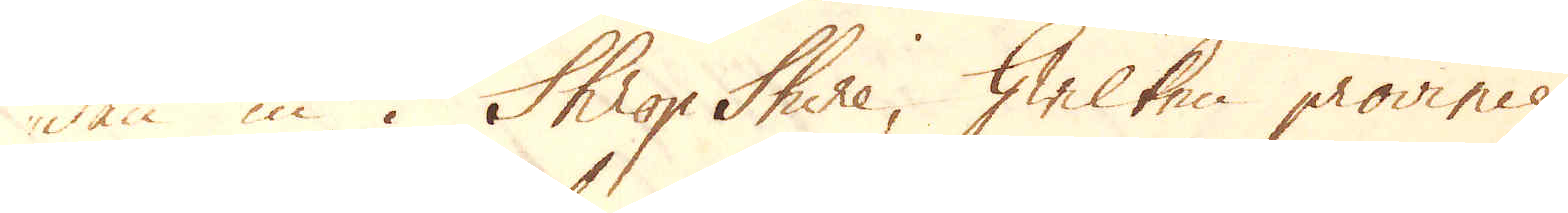dan in i Shrop Shire, hwilken province
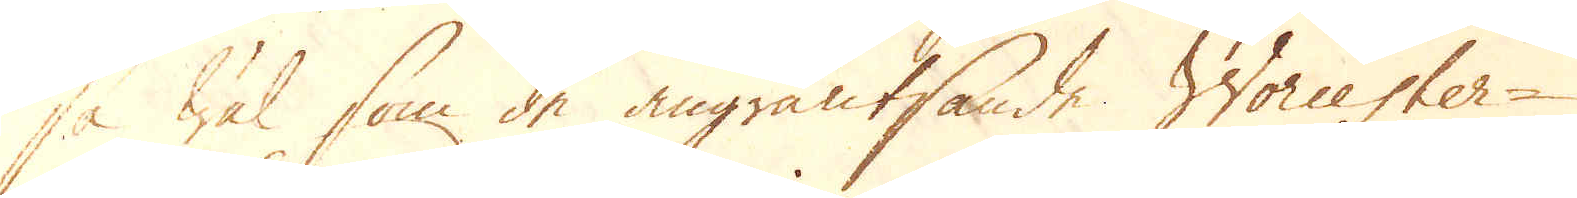så wäl som de angräntsande Worcester-
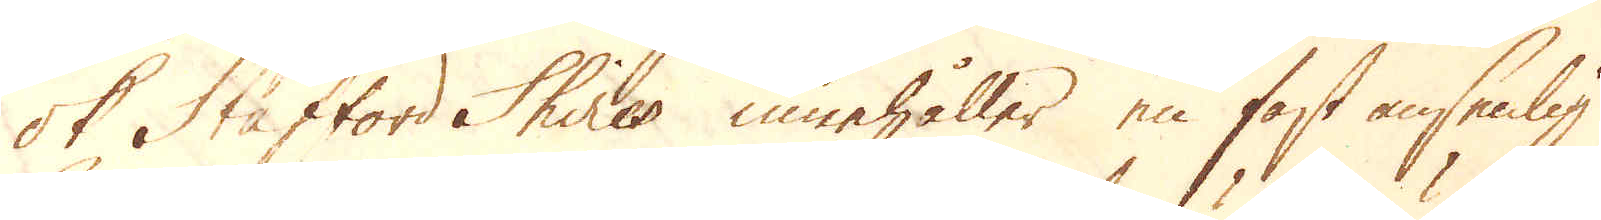ok Stafford Shires innehåller en fast ansenlig
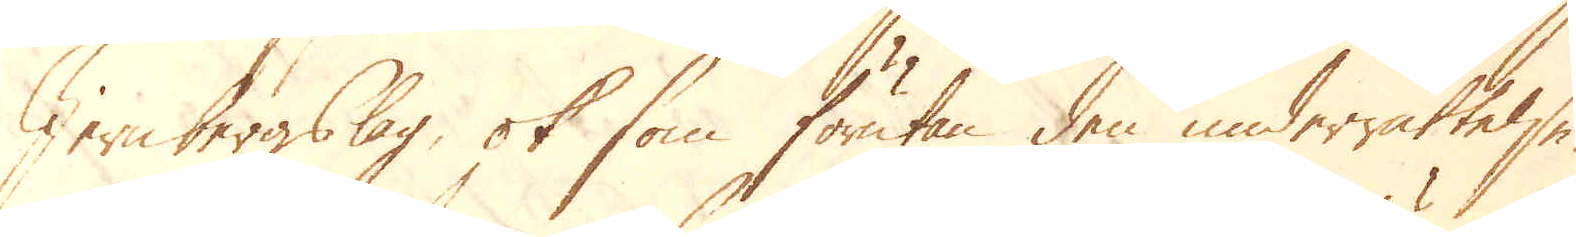Jernbergslag, ok som förutan den underrättelse,
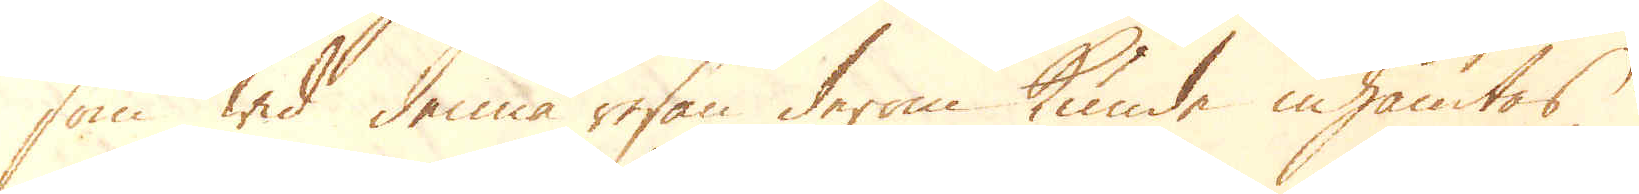som wid denna resan derom kunde inhämtas,
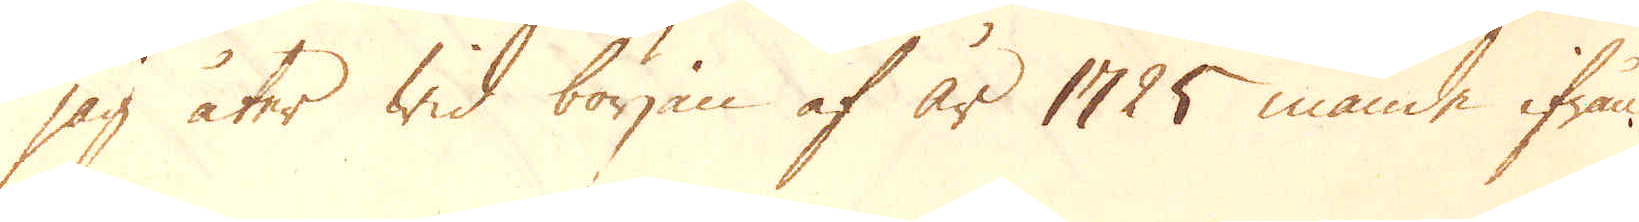jag åter wid början af år 1725 månde ifrån
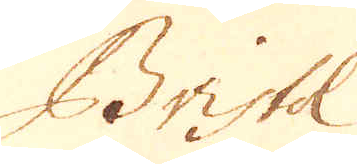Bristol
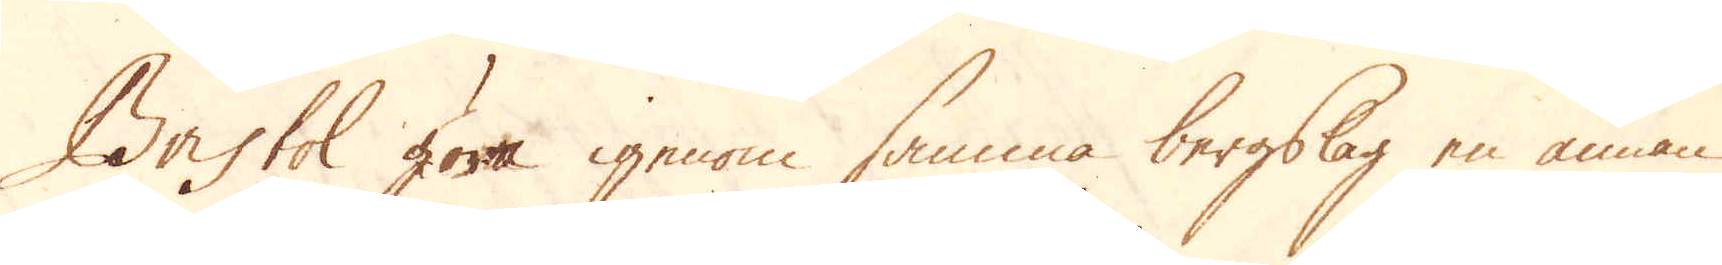Bristol göra igenom samma bergslag en annan
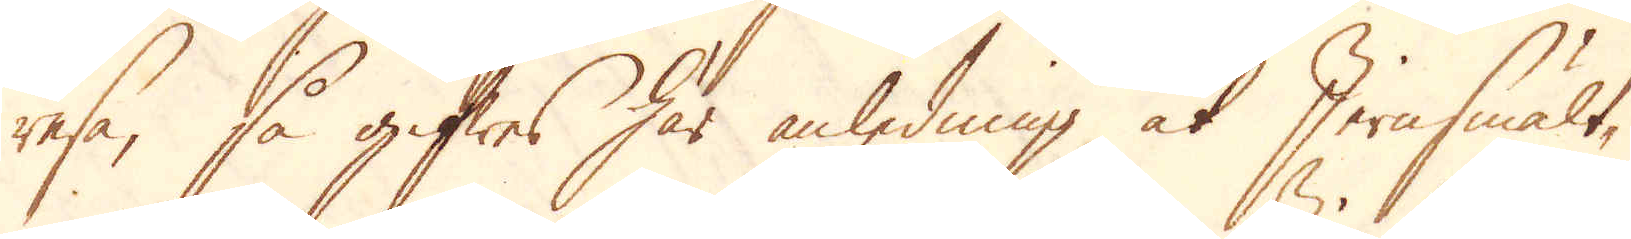resa, så gifwes här anledning at Jernsmält-
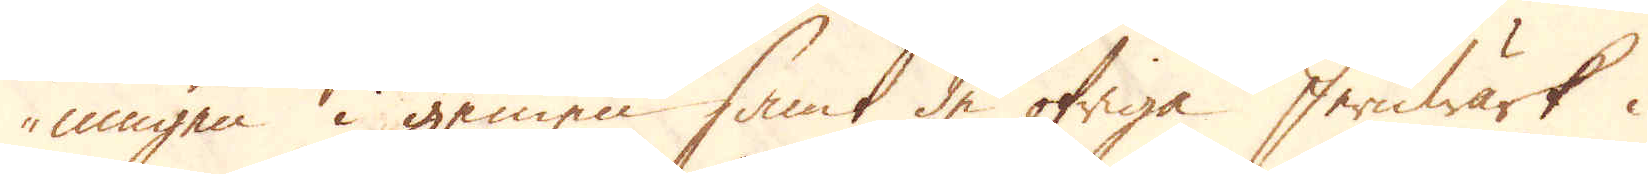ningen i gemen samt de öfriga Jernwärk i
